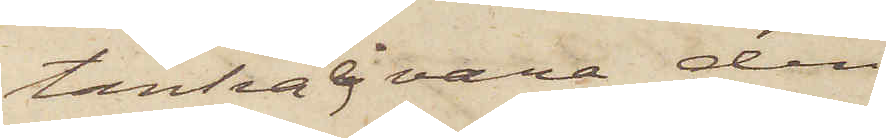tänker ej vara den
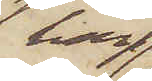han
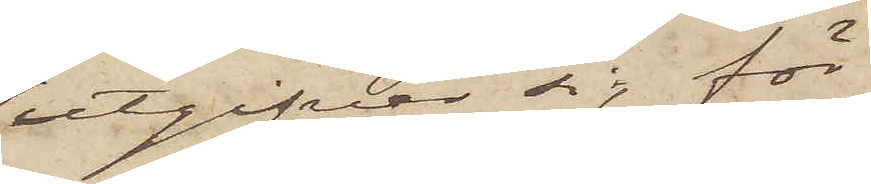utgifver sig för
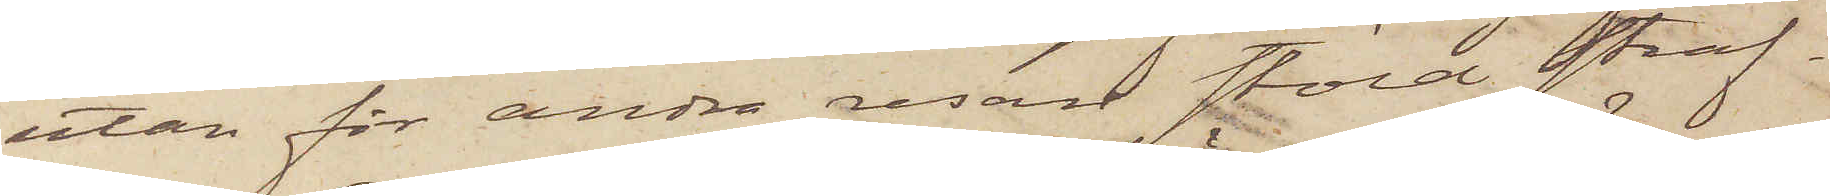utan för andra resan stöld straf¬
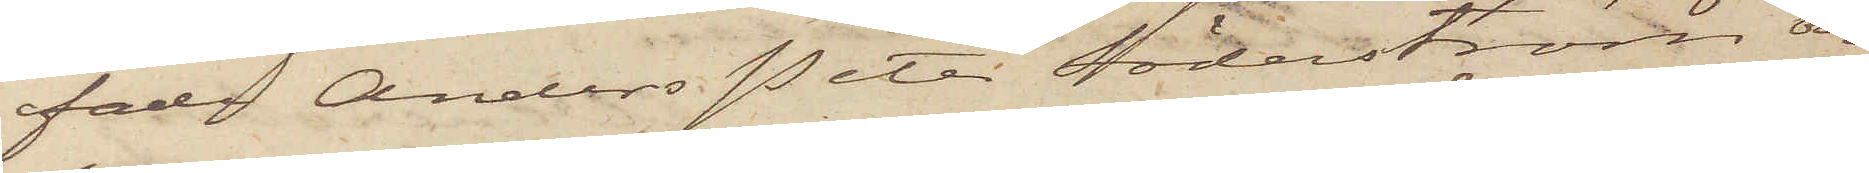fade Anders Peter Söderström och
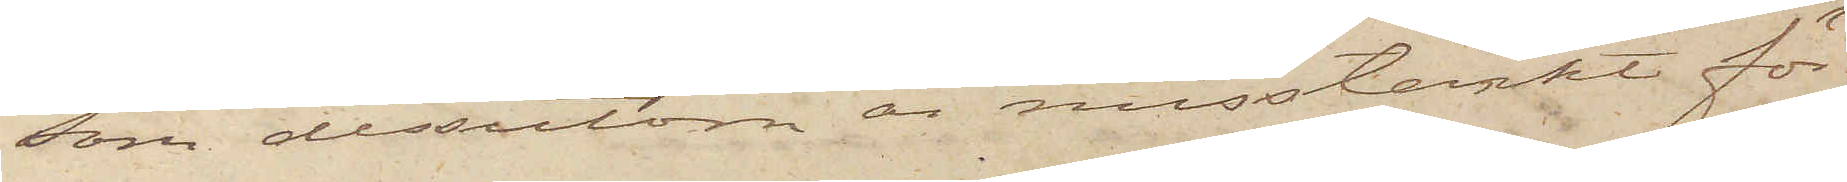som dessutom är misstänkt för
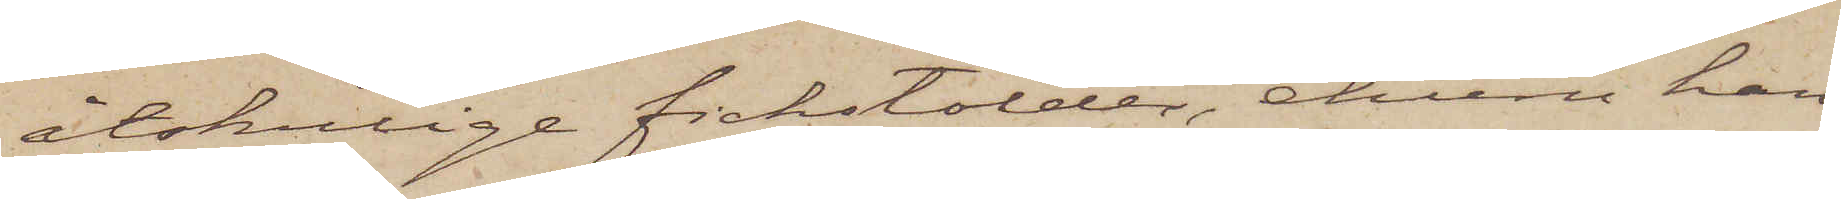åtskillige fickstölder, ehuru han
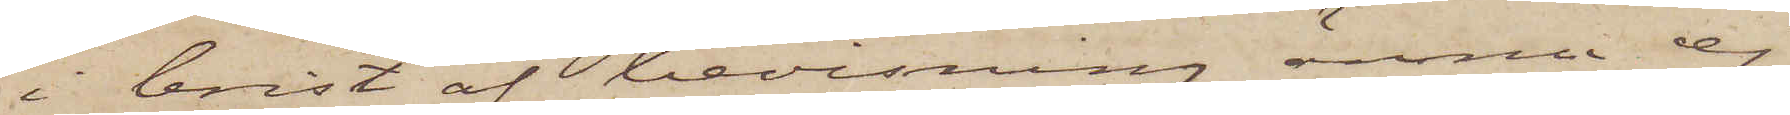i brist af bevisning ännu ej
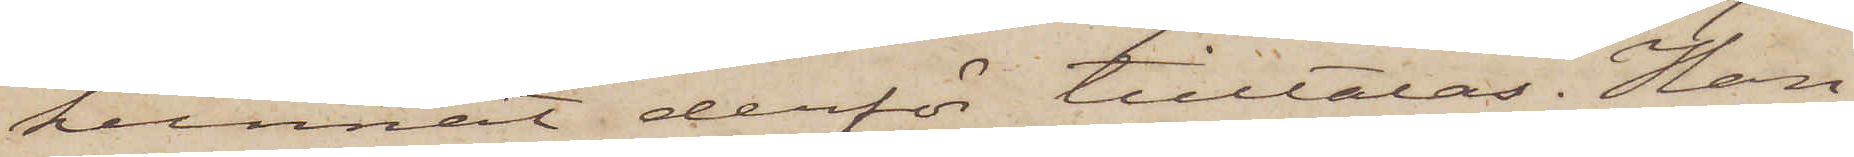kunnat derför tilltalas. Han
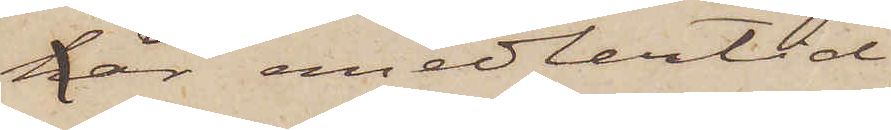här emedlertid
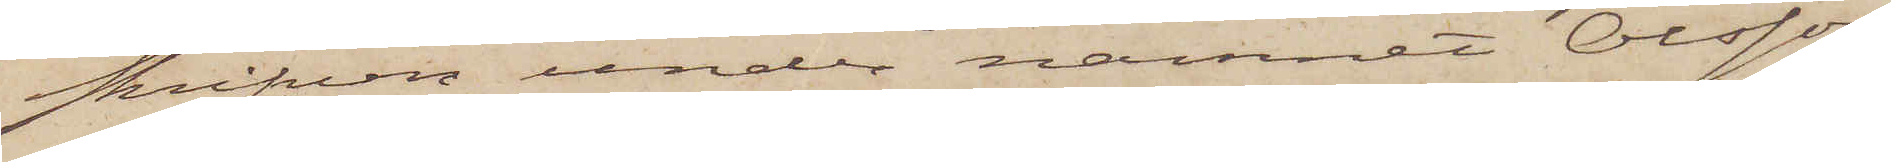skrifven under namnet Olsson
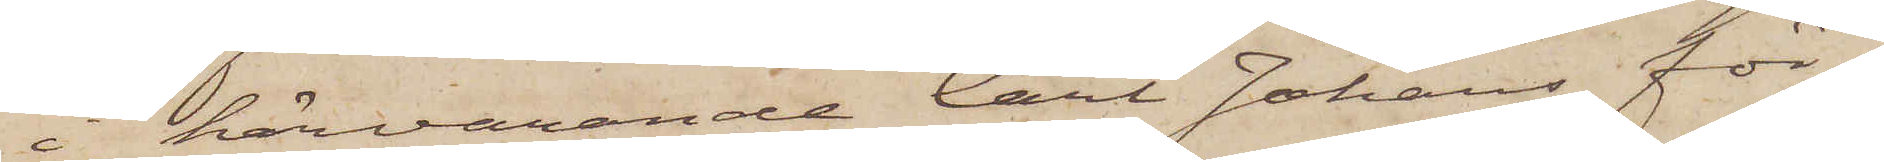i härvarande Carl Johans för¬
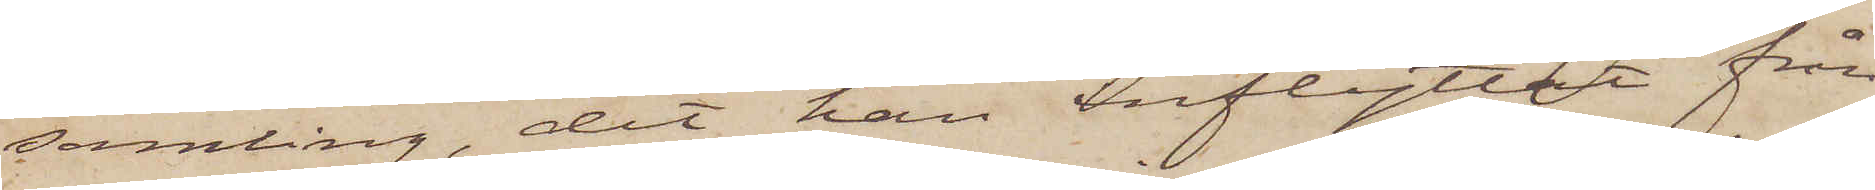samling, dit han inflyttat från
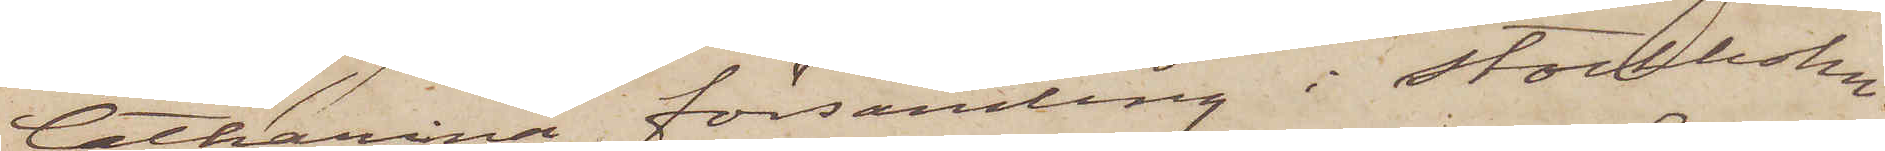Catharina församling i Stockholm.
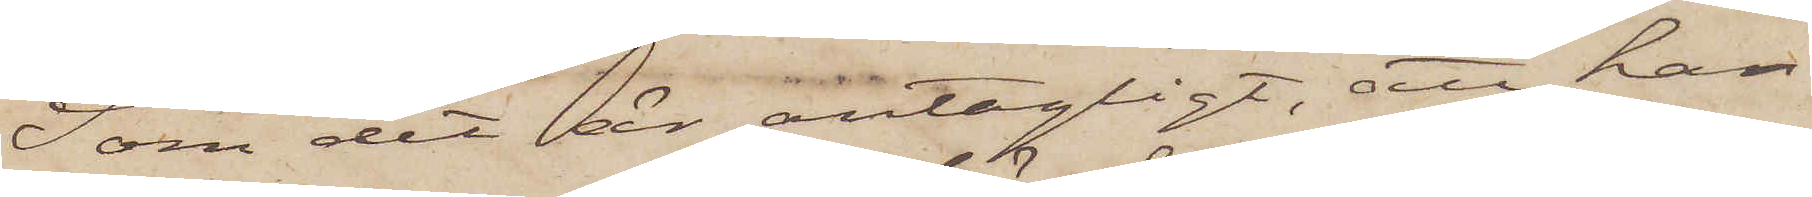Som det är antagligt, att han
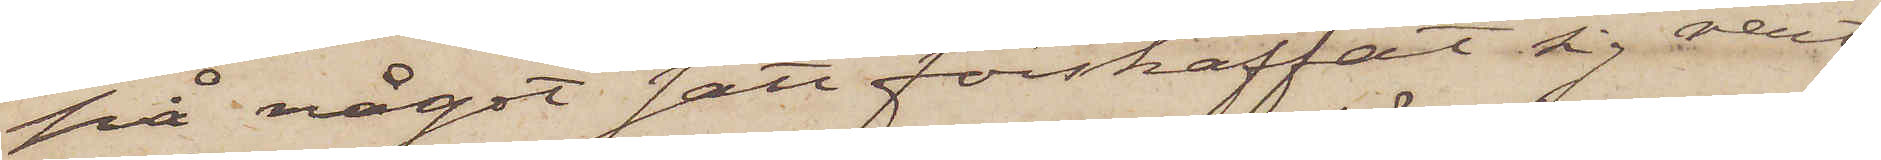på något sätt förskaffat sig rent
